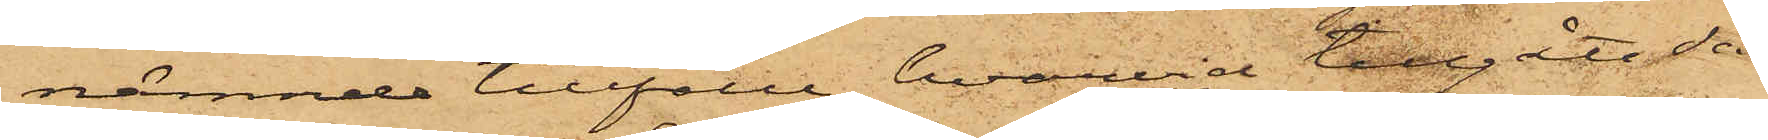nämnde tillfälle, hvarvid tillgått så
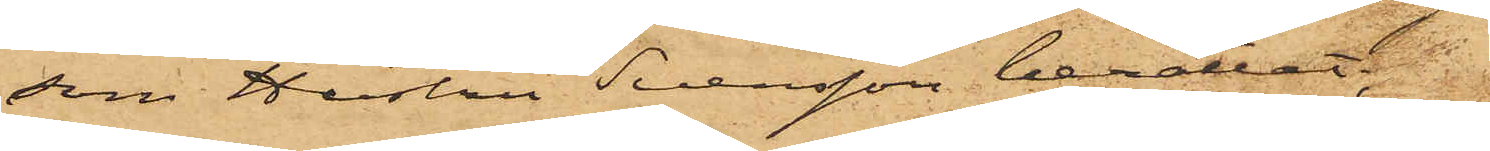som Hustru Svensson berättat.
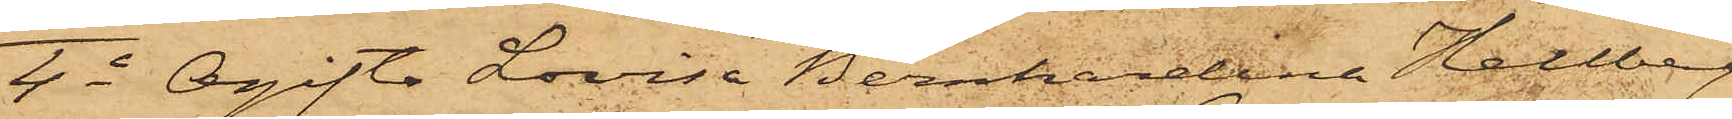4o Ogifta Lovisa Bernhardina Hellberg,
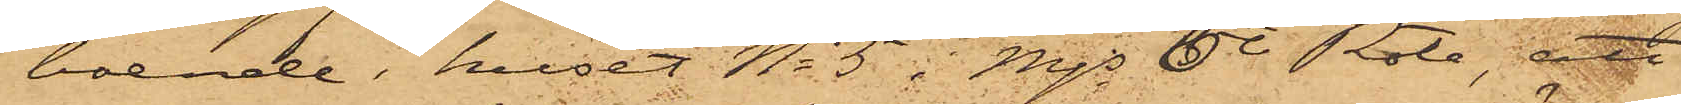boende i huset No 5 i Mjs 6te Rote, att
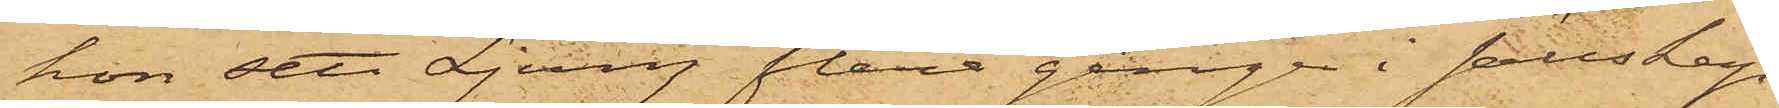hon sett Ljung flera gånger i sällskap
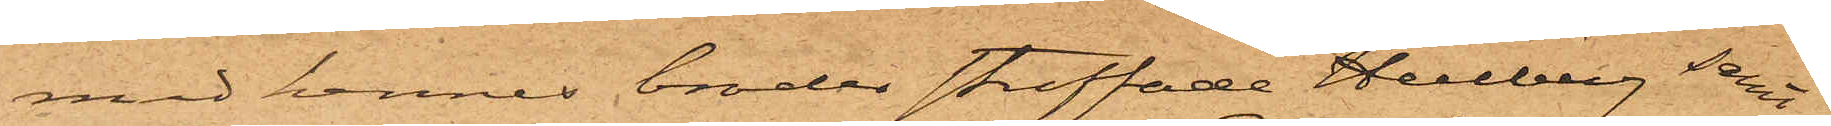med hennes broder straffade Hellberg samt
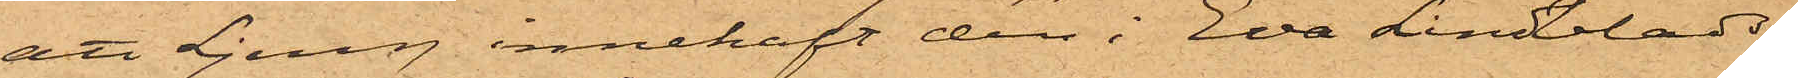att Ljung innehaft den i Eva Lindblads
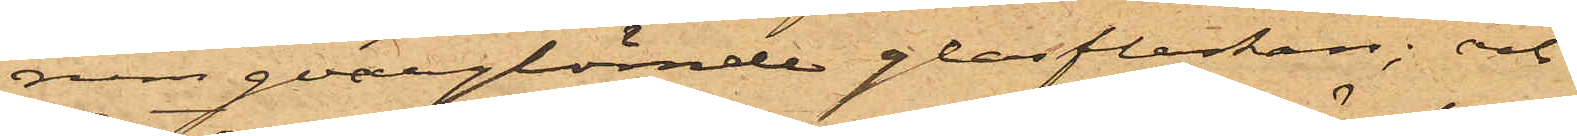rum qvarglömde glasflaskan; och
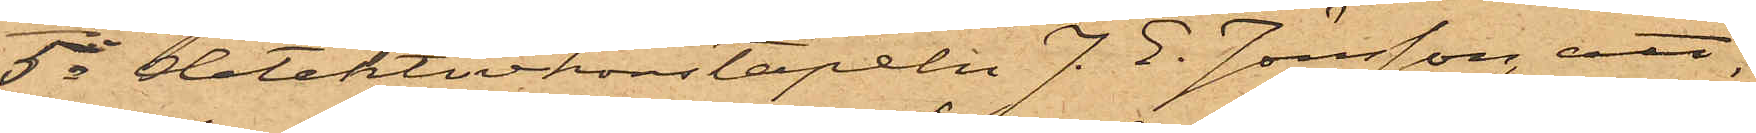5o Detektivkonstapeln J. E. Jönsson, att
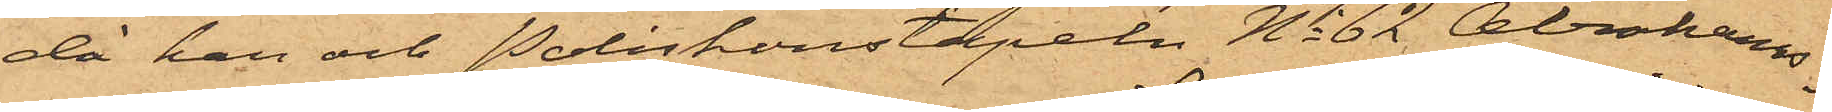då han och Poliskonstapeln No 62 Abrahams¬
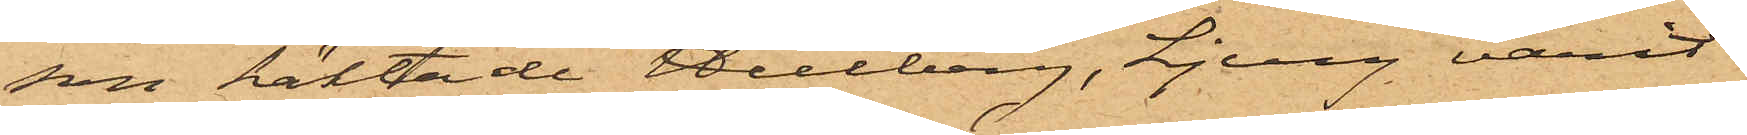son häktade Hellberg, Ljung varit
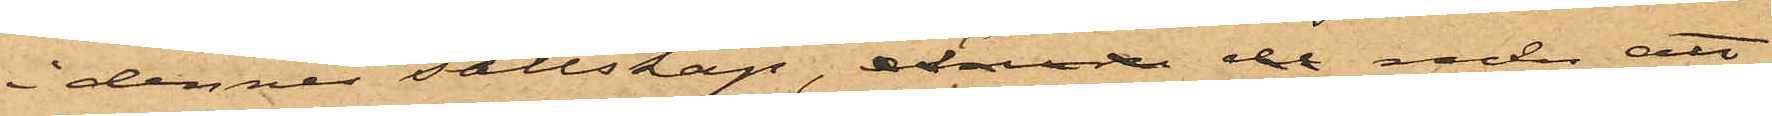i dennes sällskap, de men att
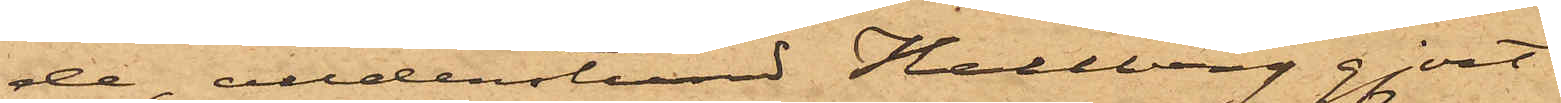de, alldenstund Hellberg gjort
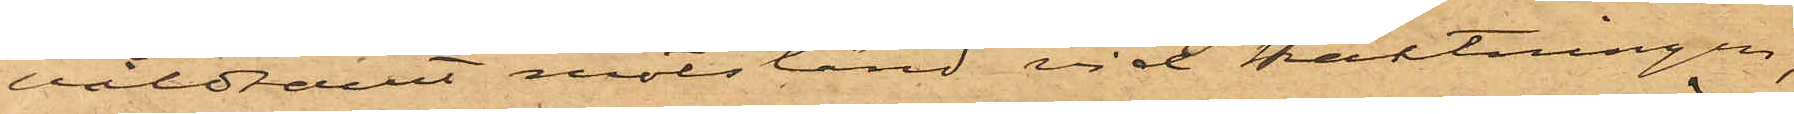våldsamt motstånd vid häktningen,
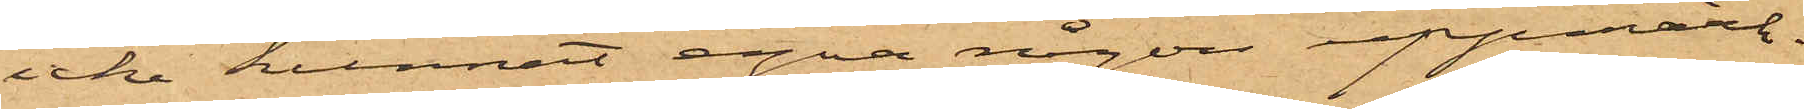icke kunnat egna någon uppmärk¬
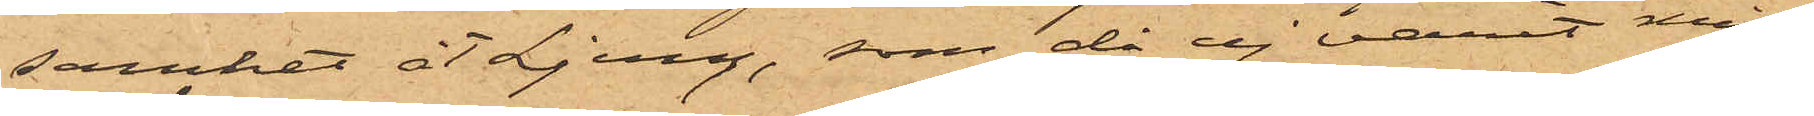samhet åt Ljung, som då ej varit miss¬
